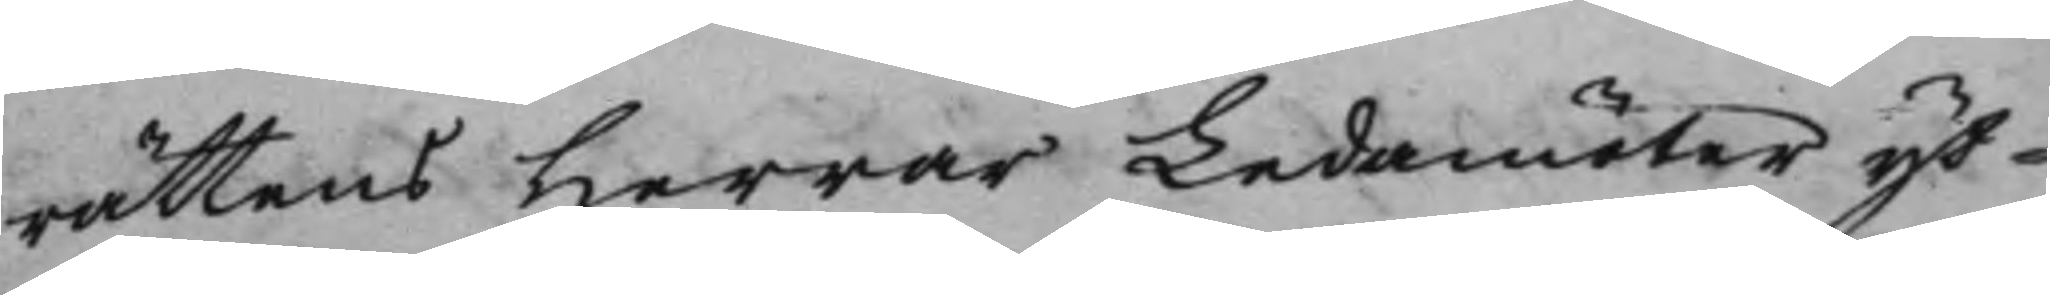rättens Herrar Ledamöter yt¬
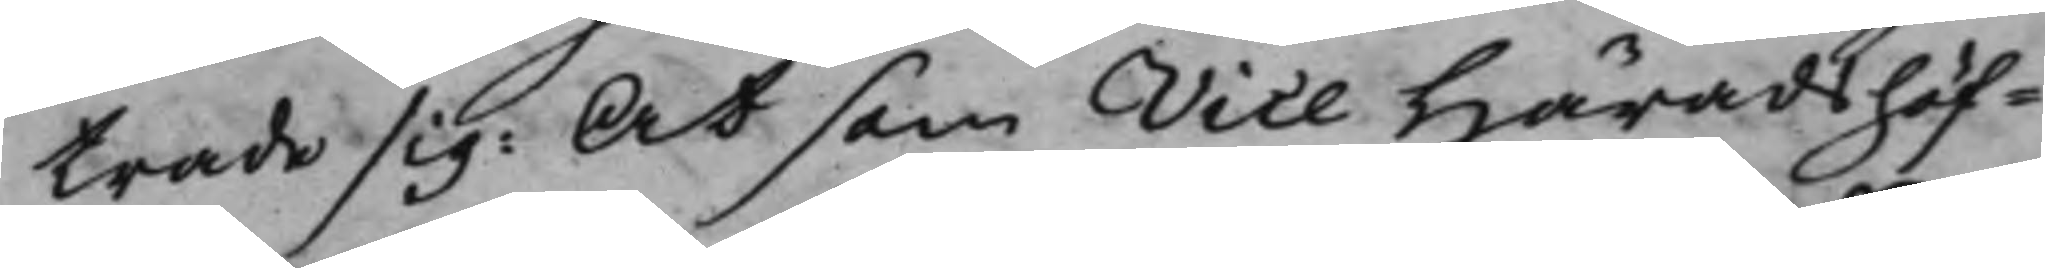trade sig: At som Vice Häradshöf¬
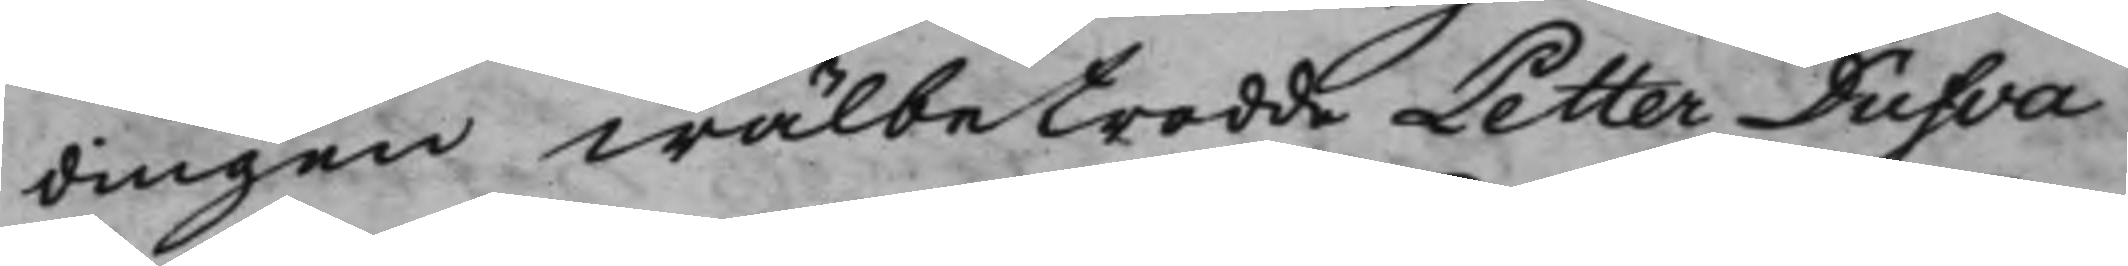dingen wälbetrodde Petter Dufva
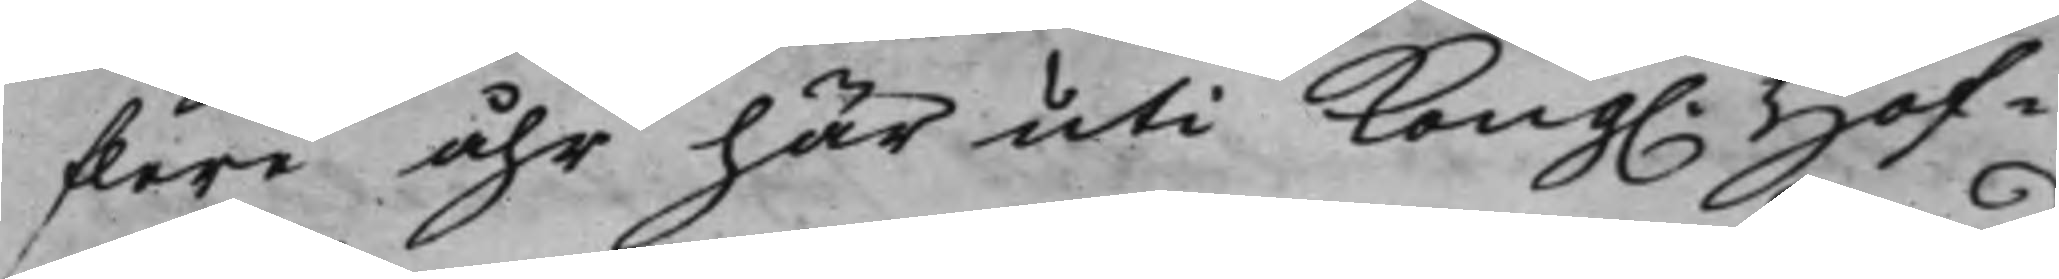flere åhr här uti Kong. Hof¬
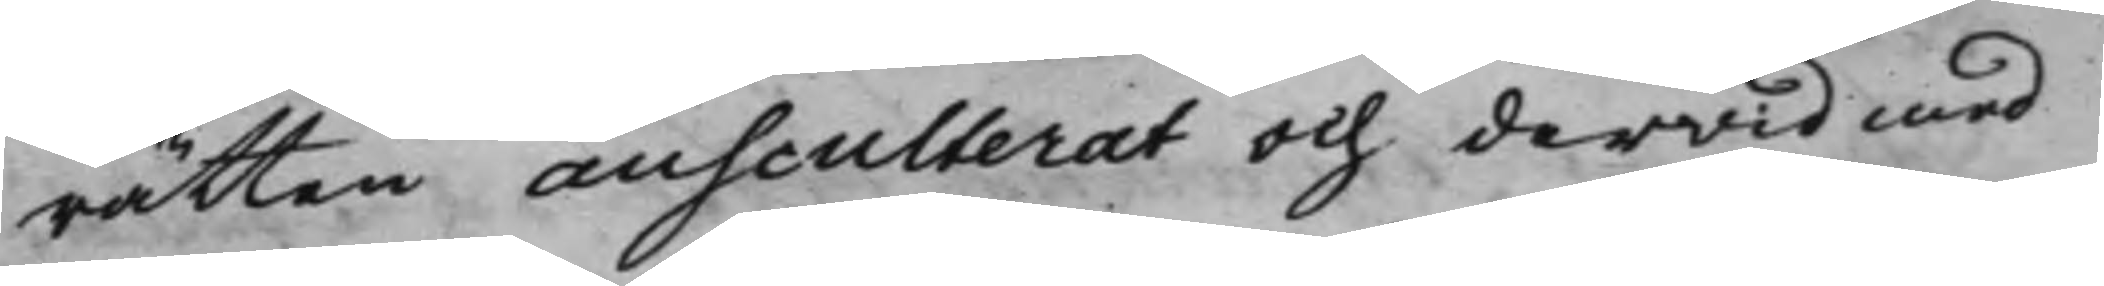rätten ausculterat och derwid med
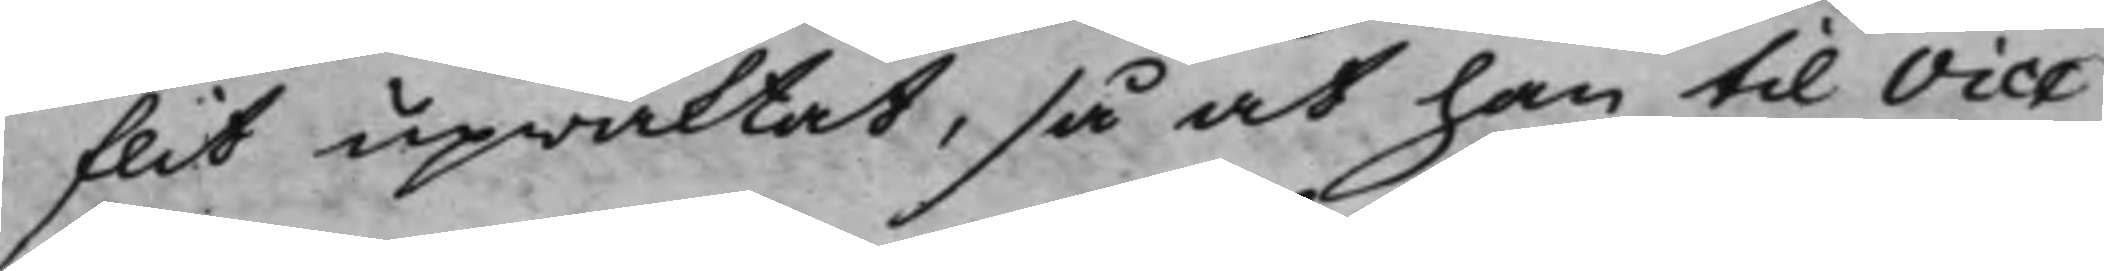flit upwaktat, så at han till Vice
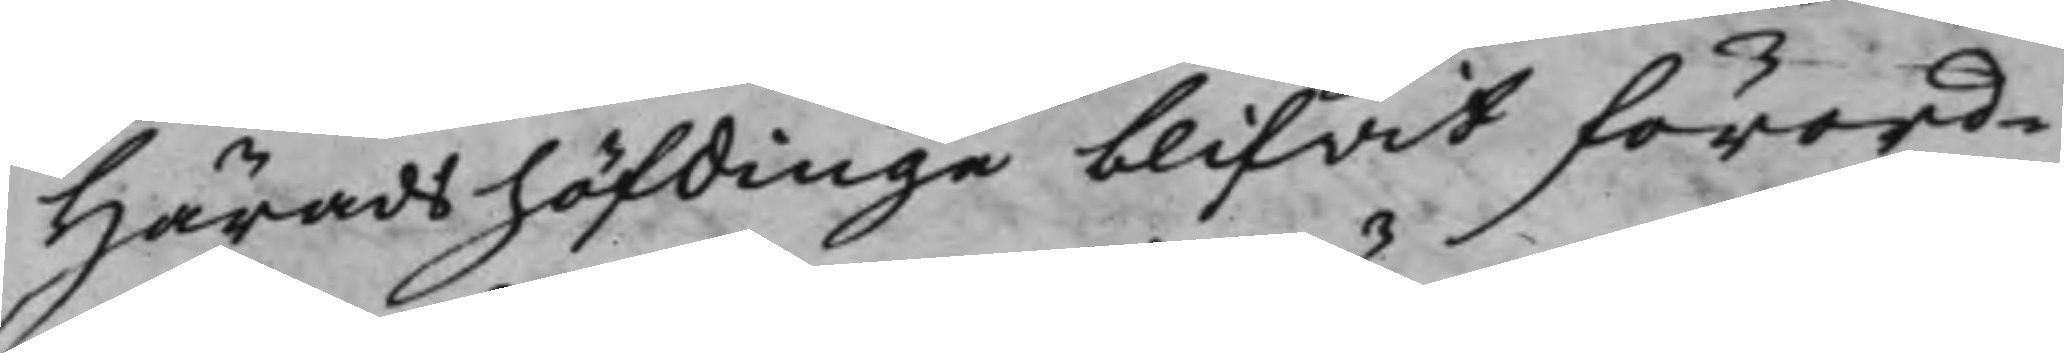Häradshöfdinge blifvit förord¬
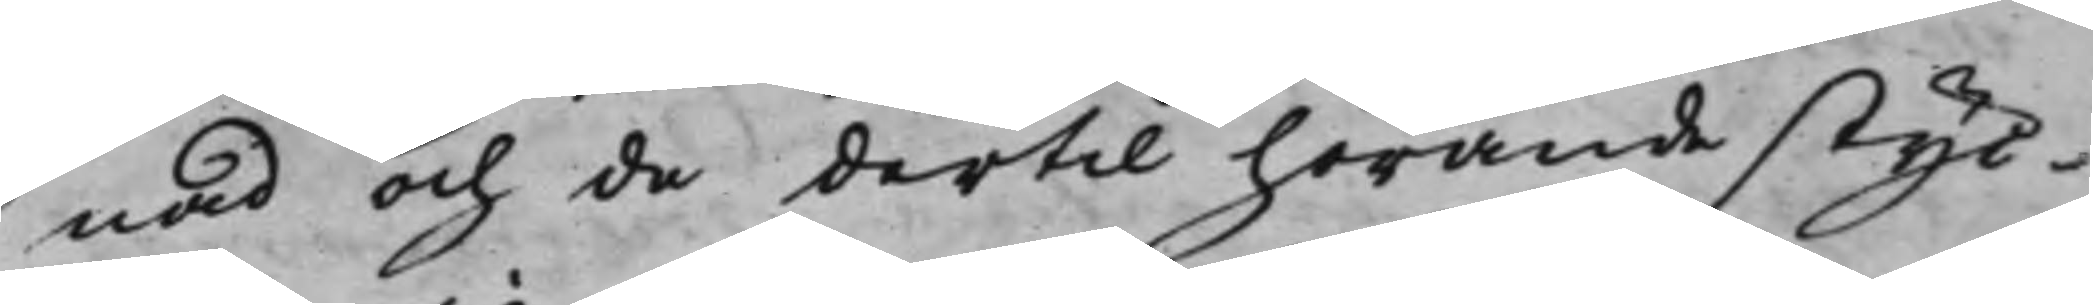nad och de dertill hörande styc¬
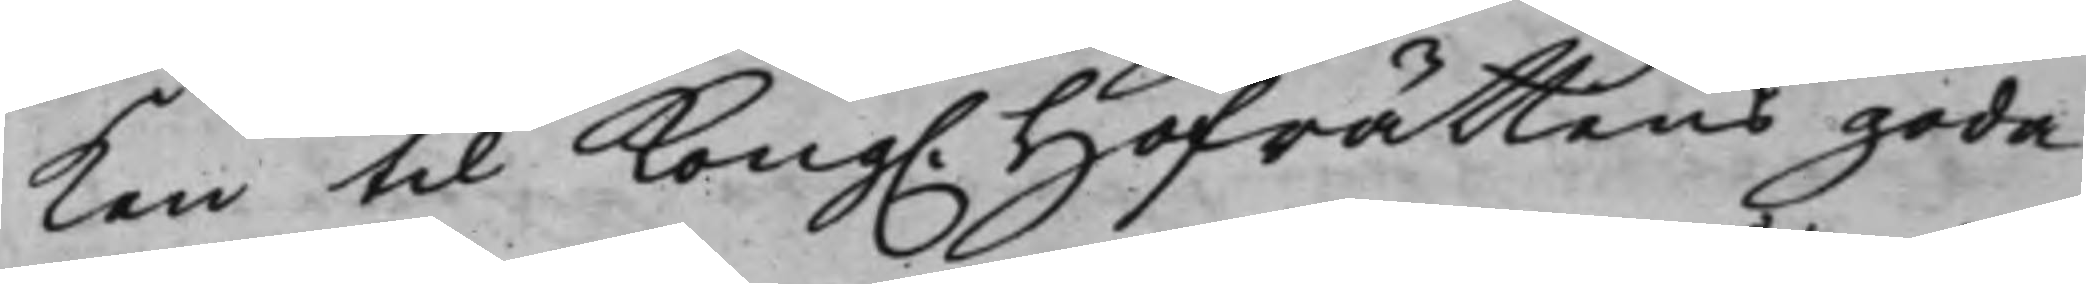ken til Kong. Hofrättens goda
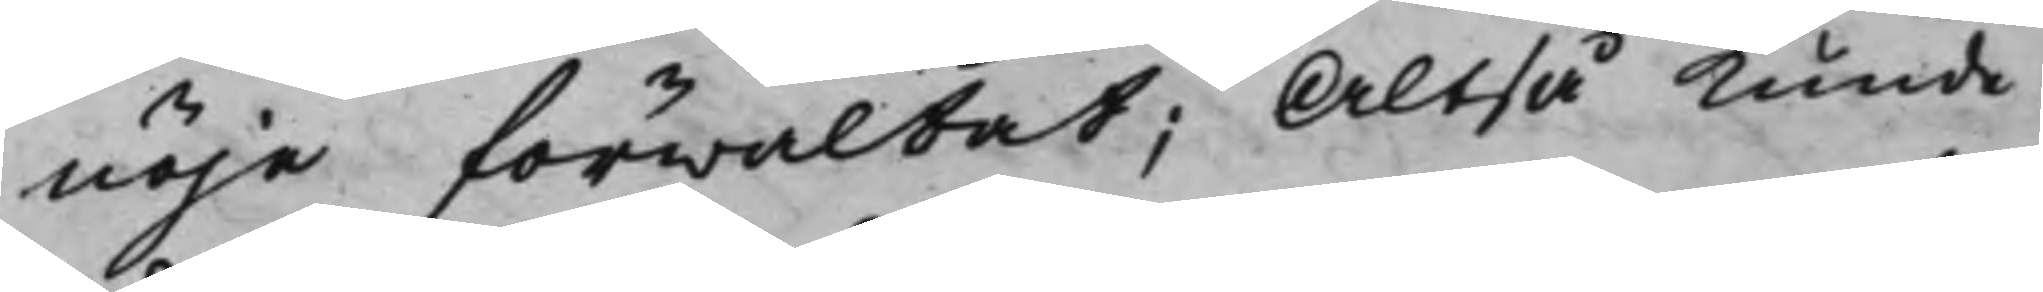nöje förwaltat; Altså kunde
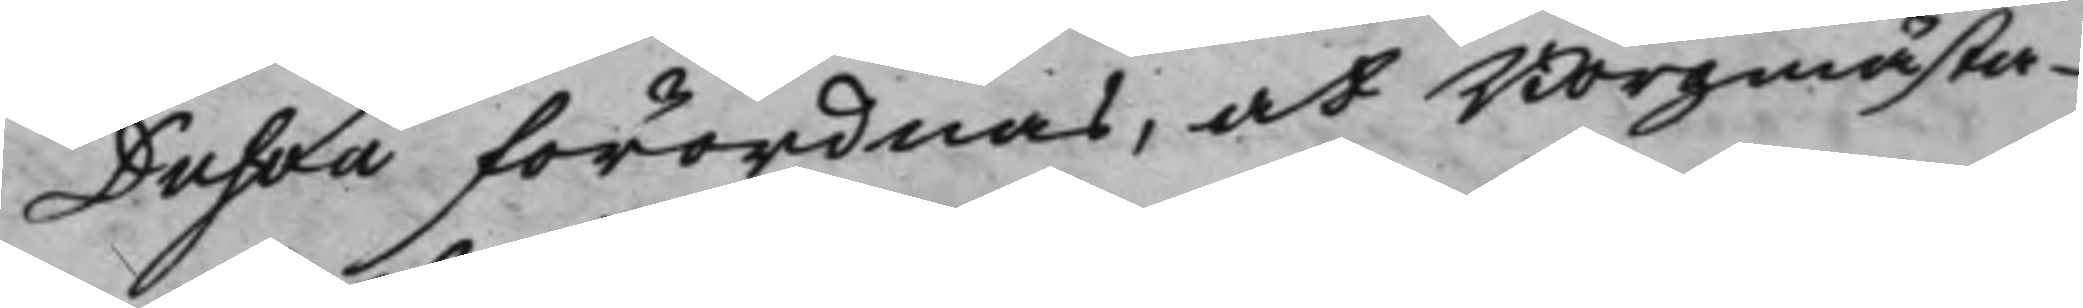Dufva förordnas, at Borgmästa¬
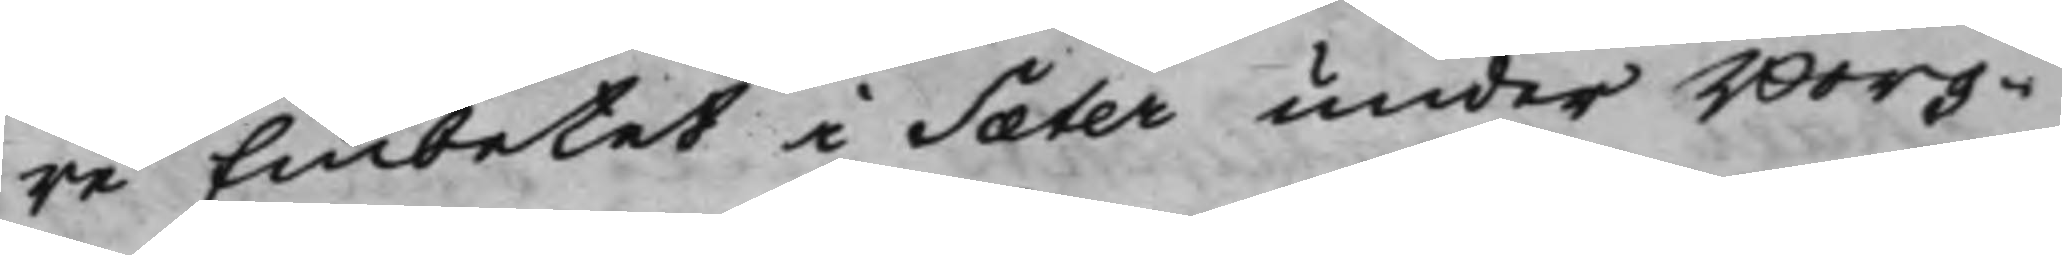re Embetet i Sæter under Borg¬
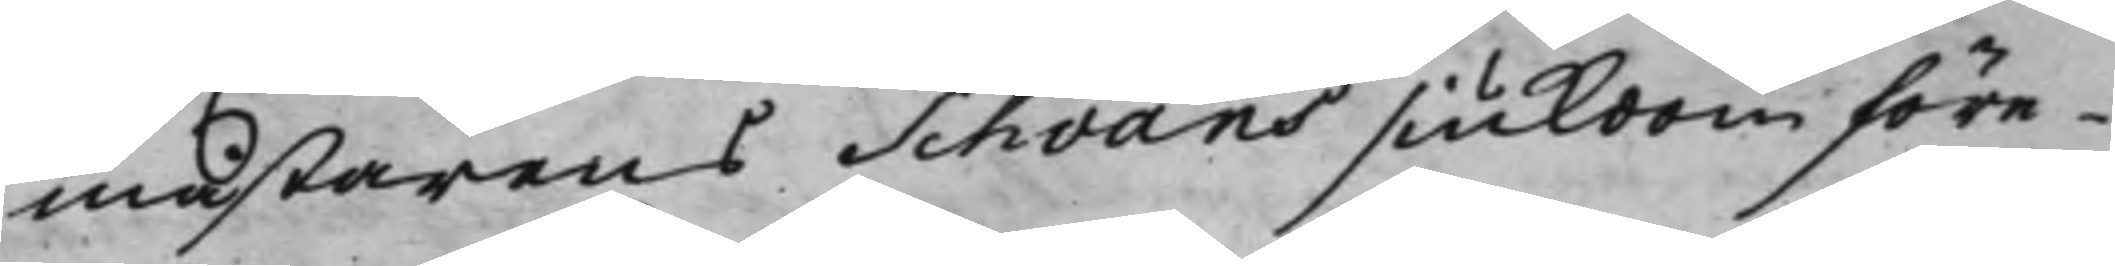mästarens Schvans siukdom före¬
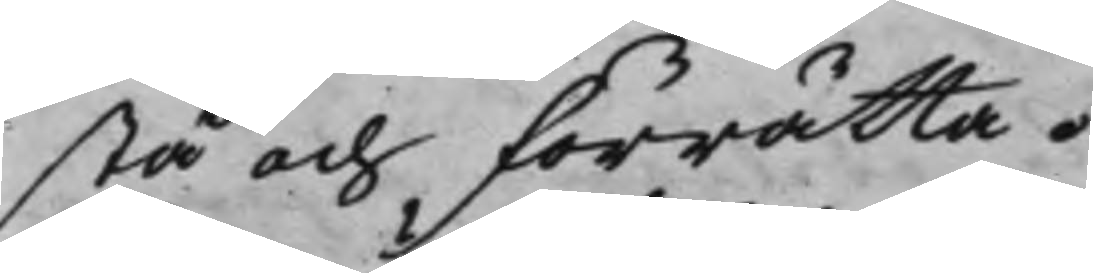stå och förrätta.
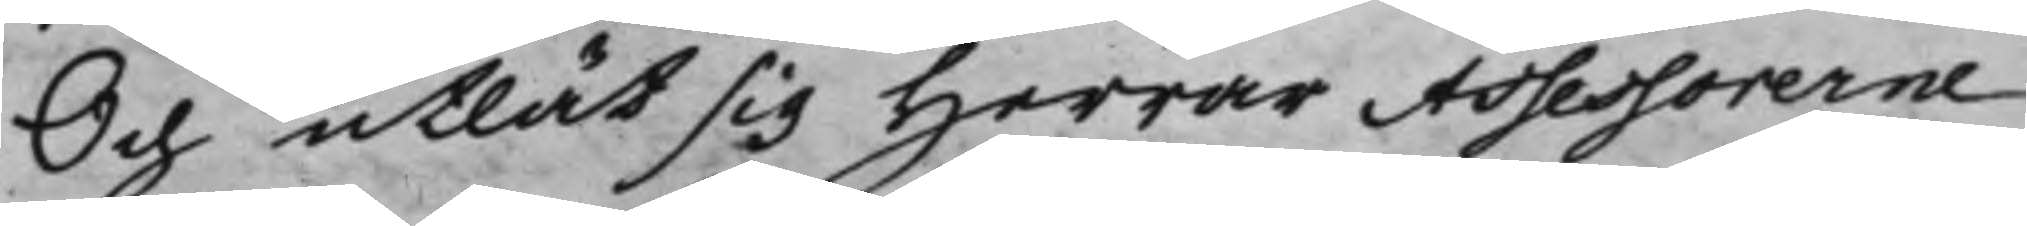Och utlät sig Herrar Assessorerne
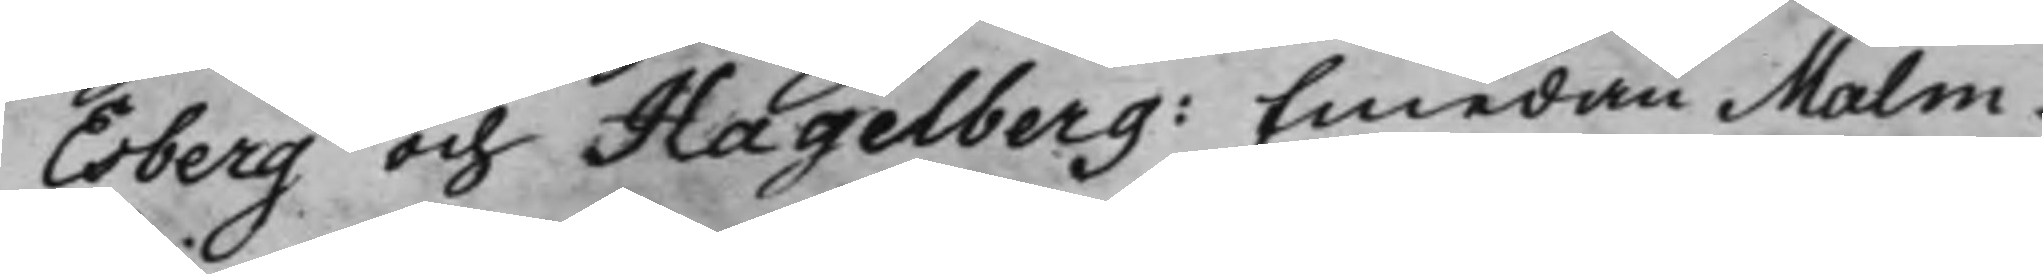Esberg och Hagelberg: Emedan Malm¬
